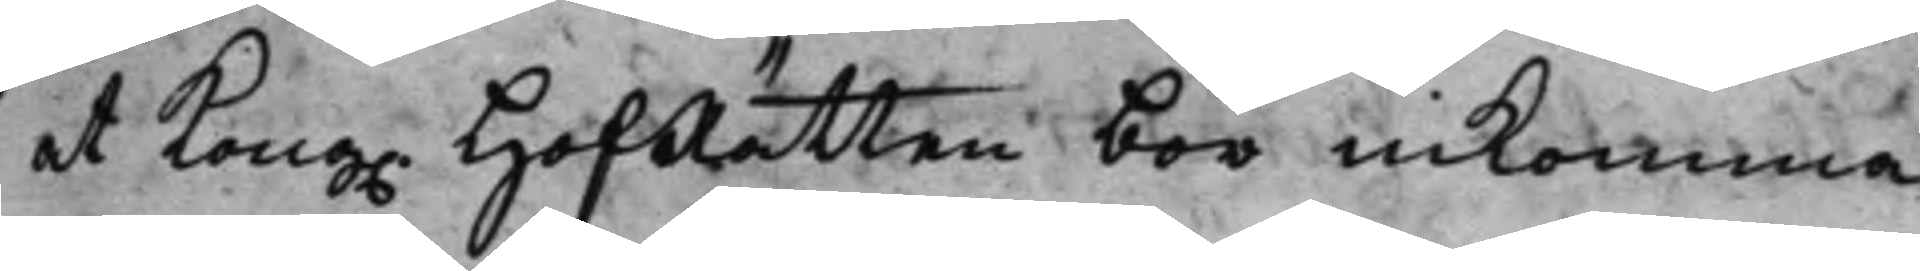at Kong. HofRätten bör inkomma
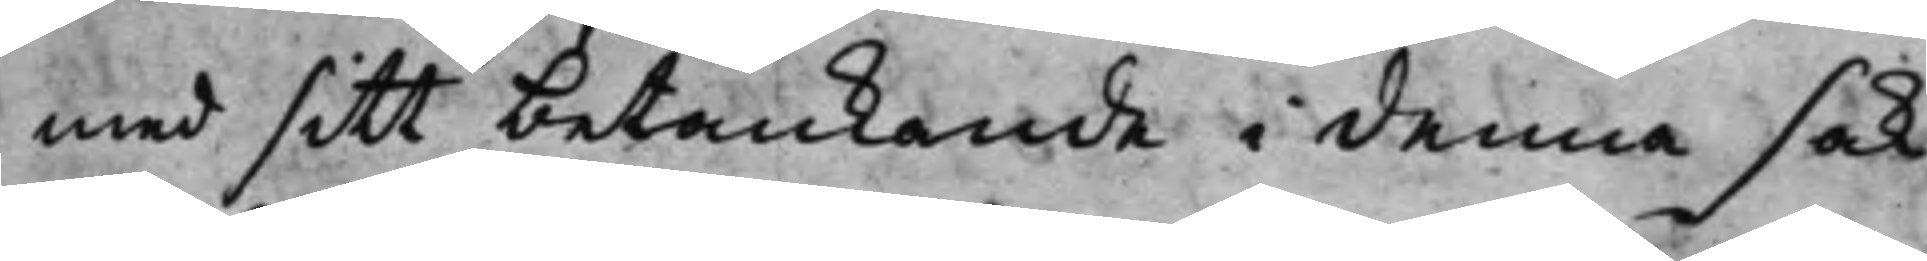med sitt betänkande i denna sak
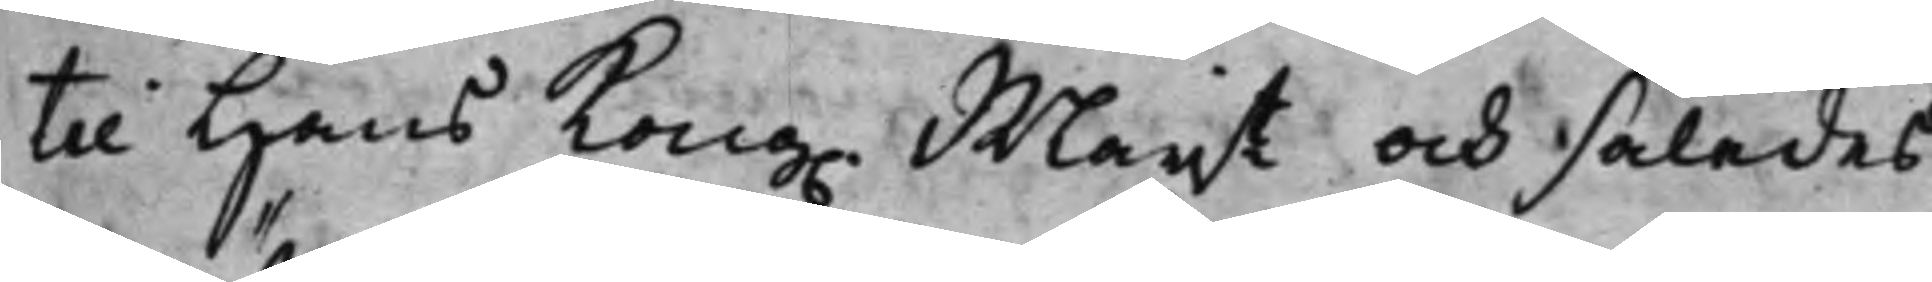till Hans Kong. Maijt och således
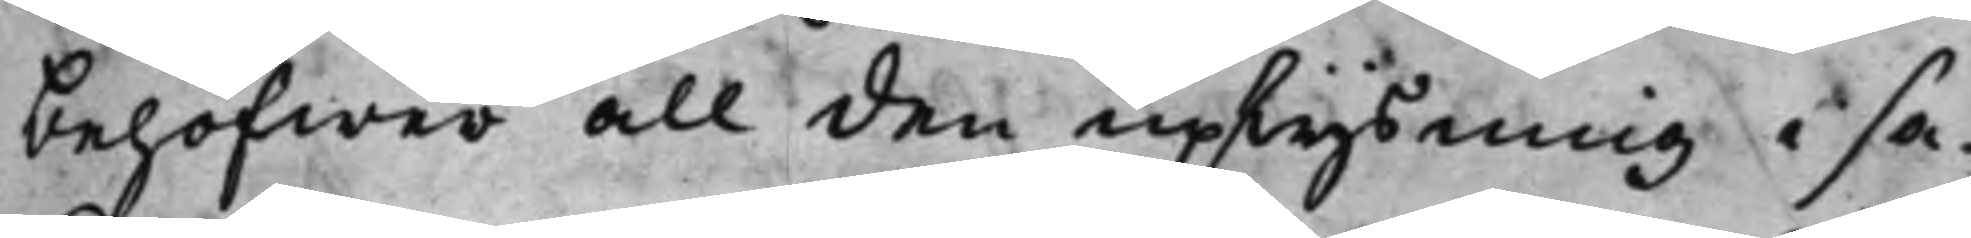behöfwer all den uplysning i sa¬
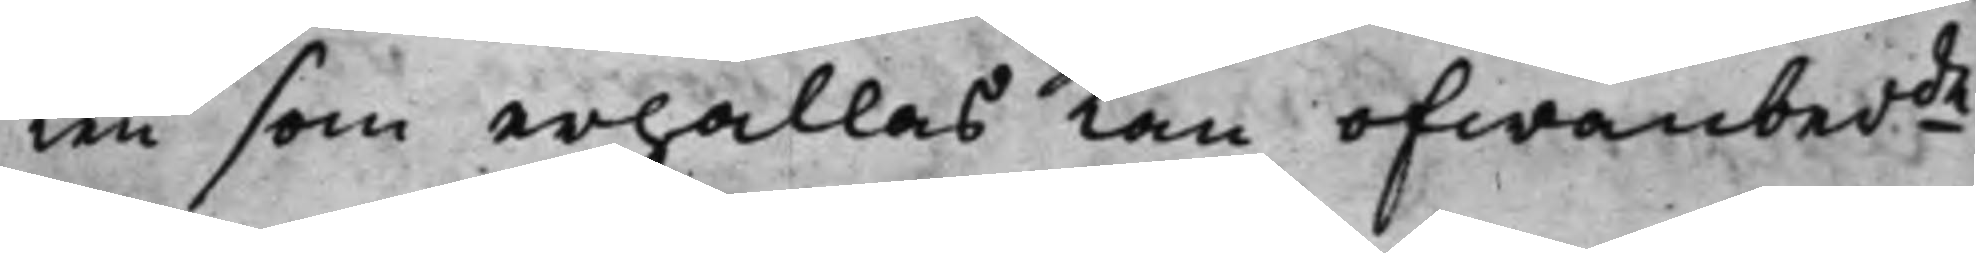ken som erhållas kan ofwanberde
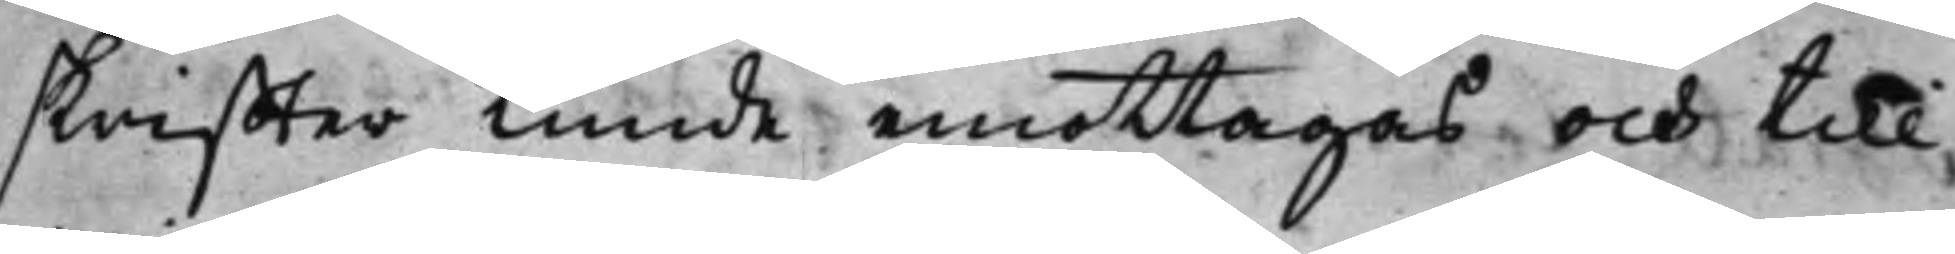skriffter kunde emottagas och till
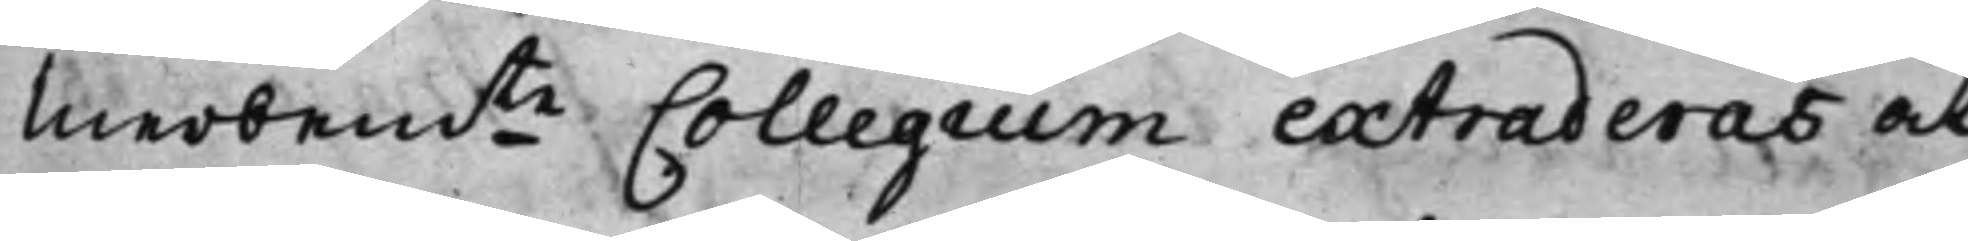merbemte Collegium extraderas at
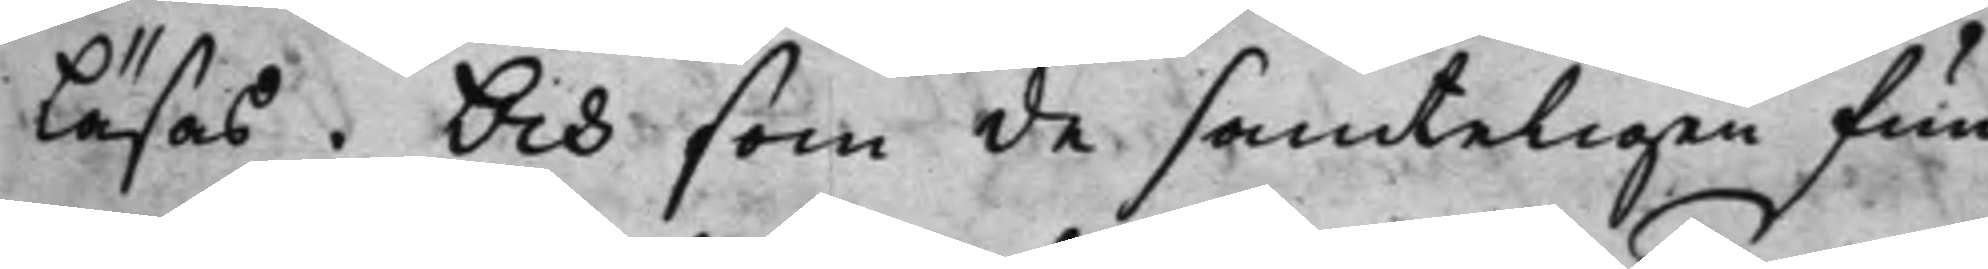läsas. Och som de samteligen fun¬
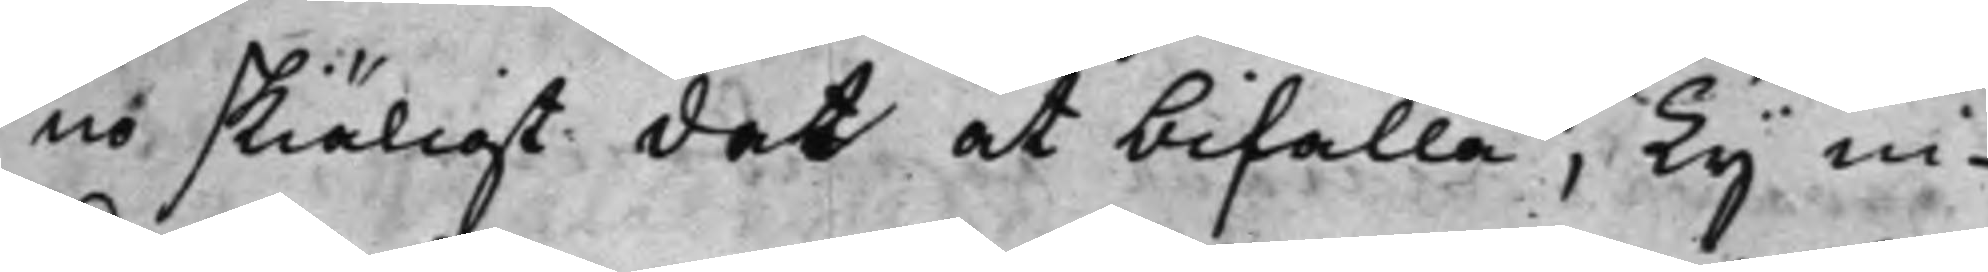no skiäligt det at bifalla; Ty in¬
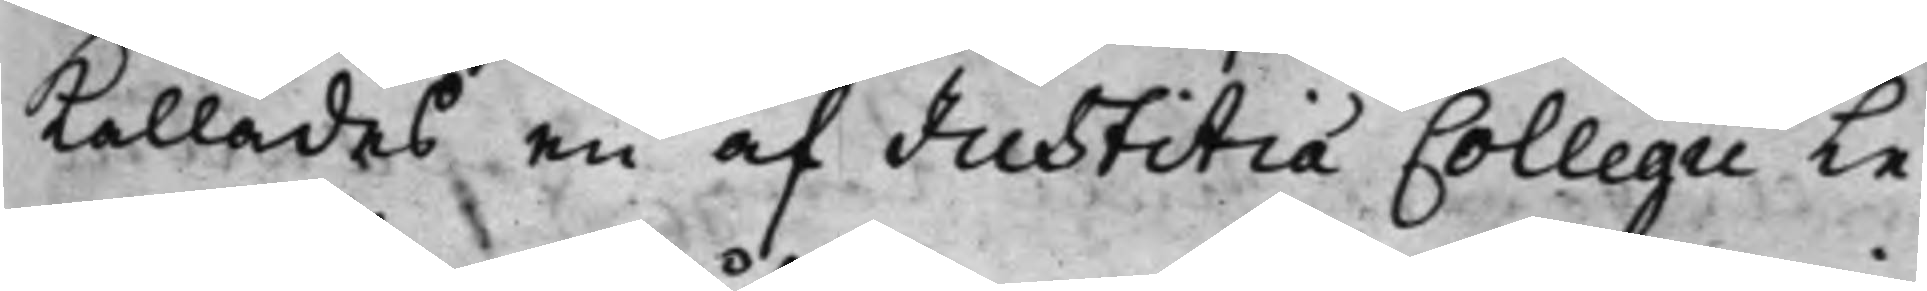kallades en af Justitiæ Collegii Le¬
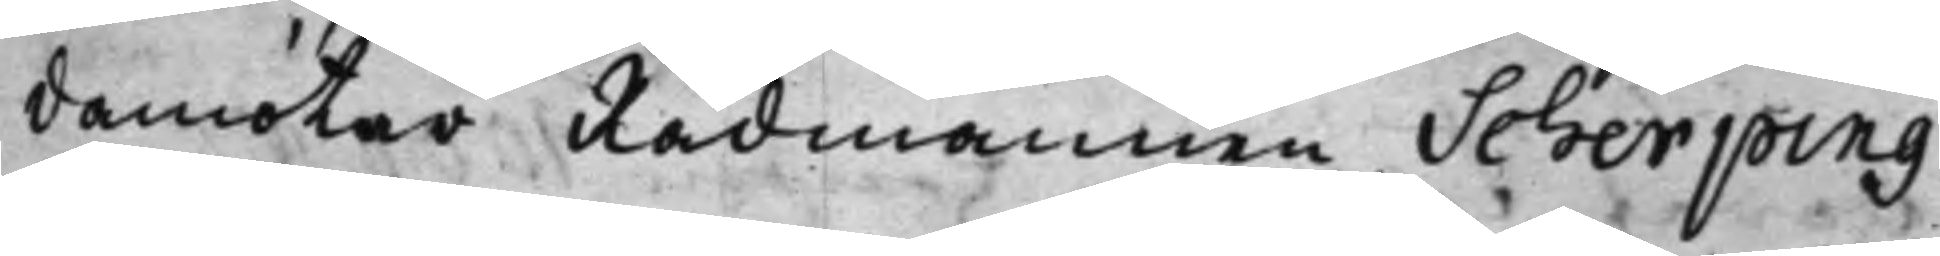damöter Rådmannen Scherping
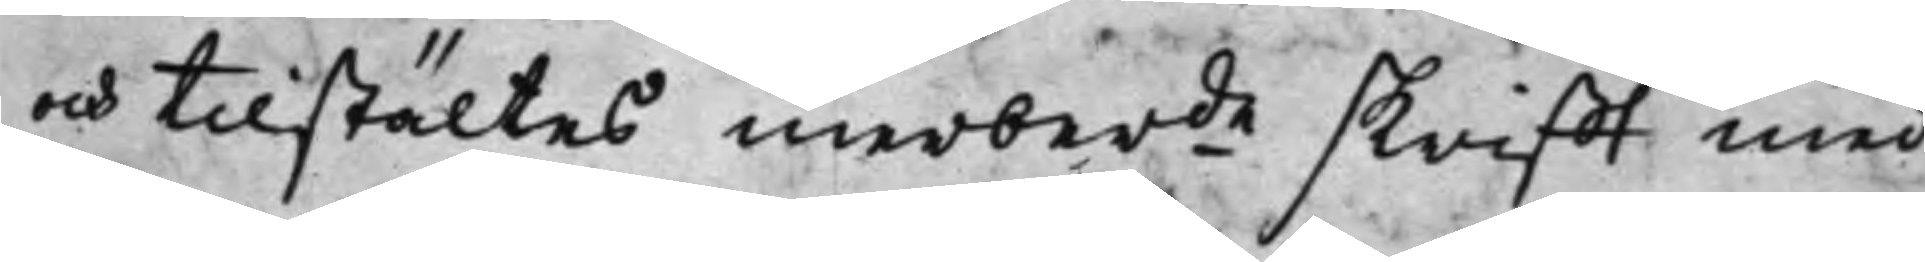och tillstältes merberde skrifft med
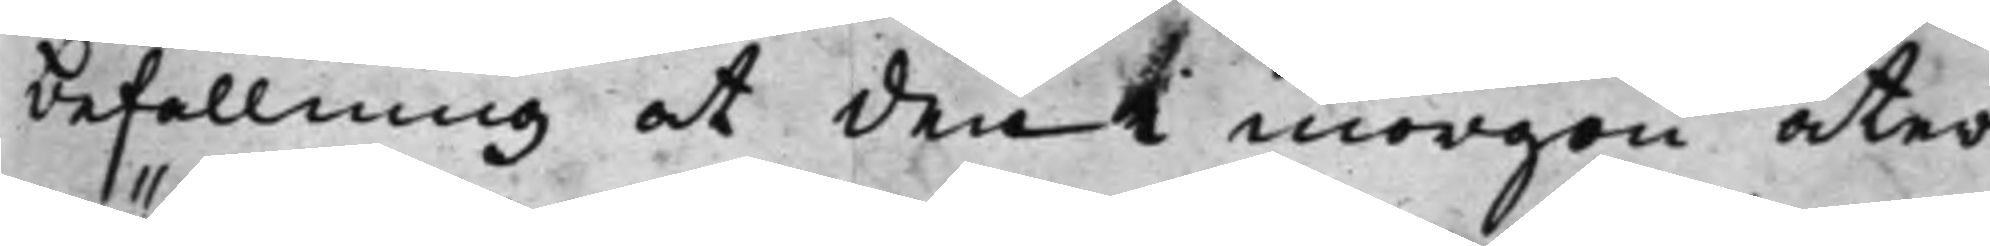befallning att den i morgon åter¬
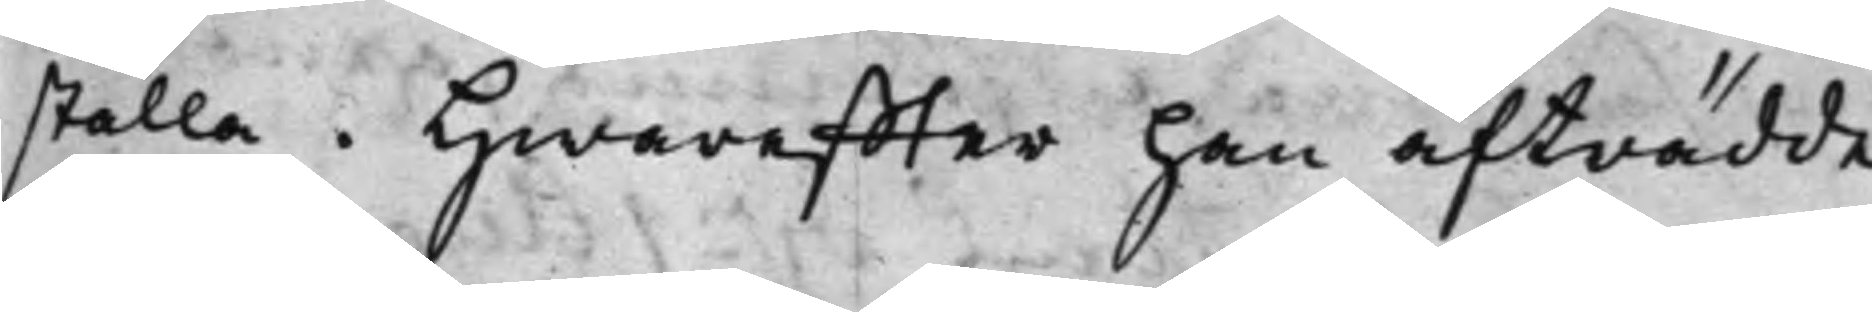ställa. Hwareffter han afträdde
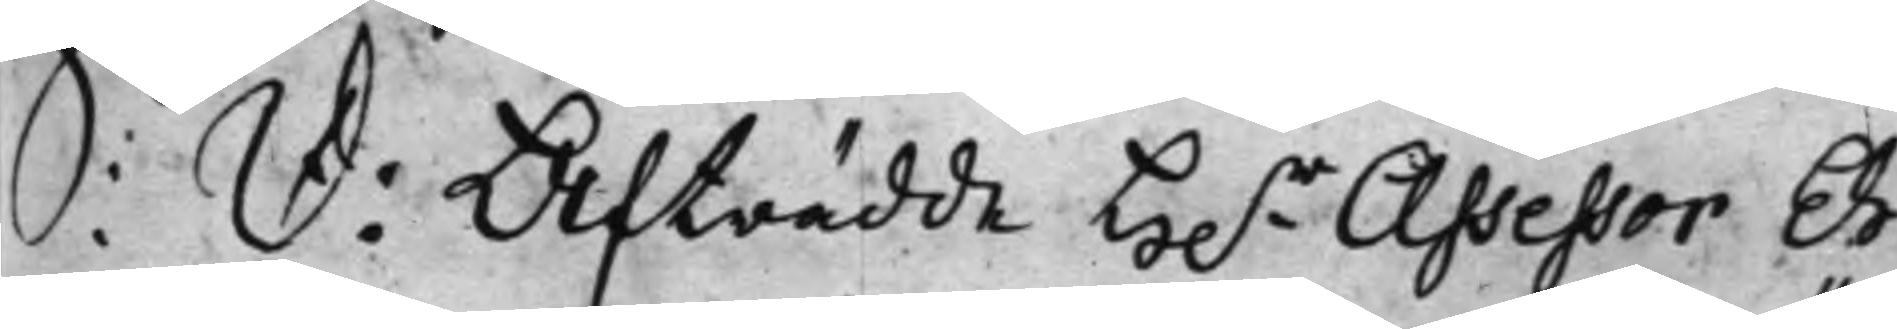S: D: Afträdde H.r Assessor Eh¬
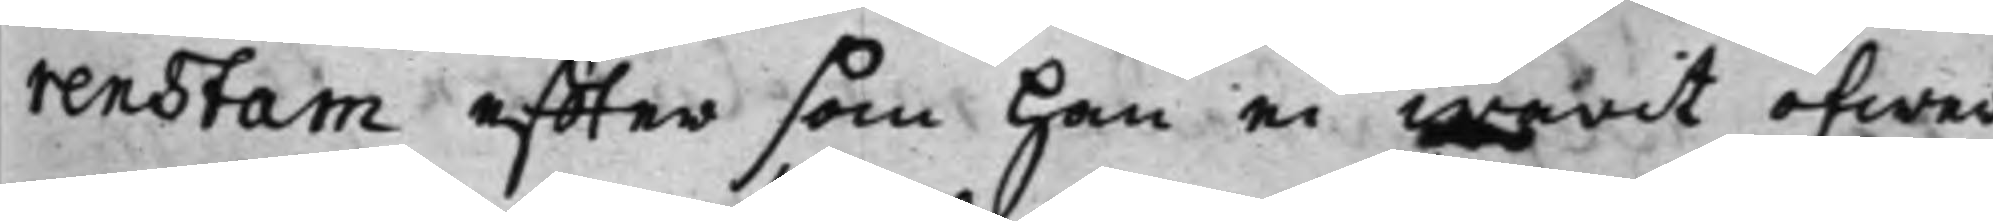renstam effter som han ei warit öfwer
